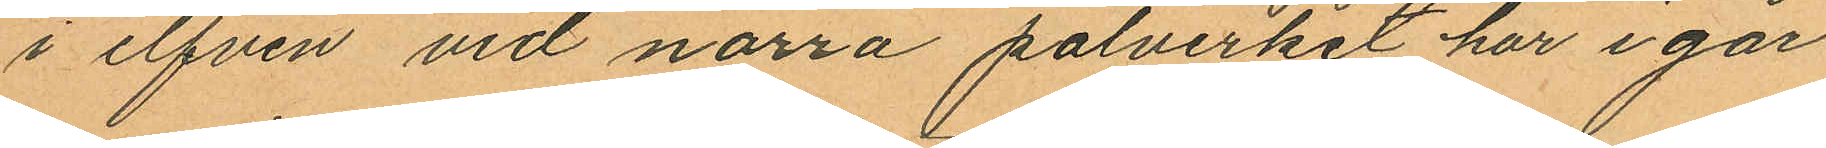i elfven vid norra pålverket har i går
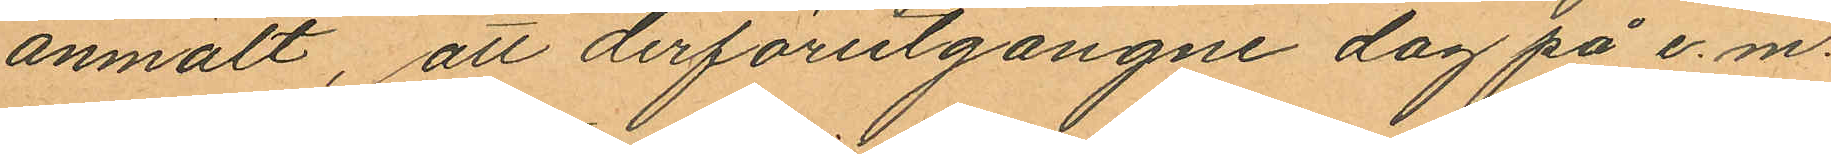anmält, att derförutgångne dag på e.m.
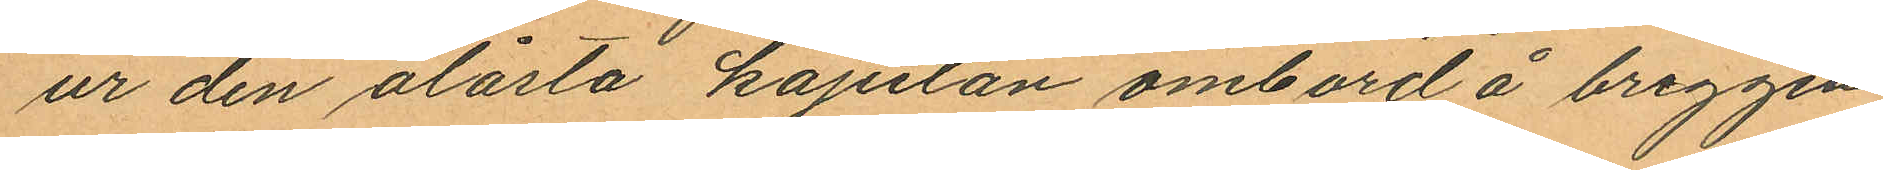ur den olåsta kajutan ombord å briggen
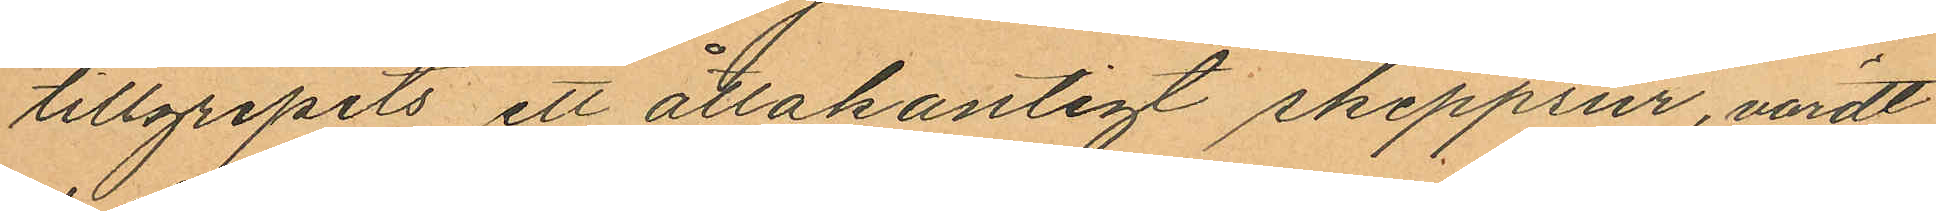tillgripits ett åttakantigt skeppsur, värdt
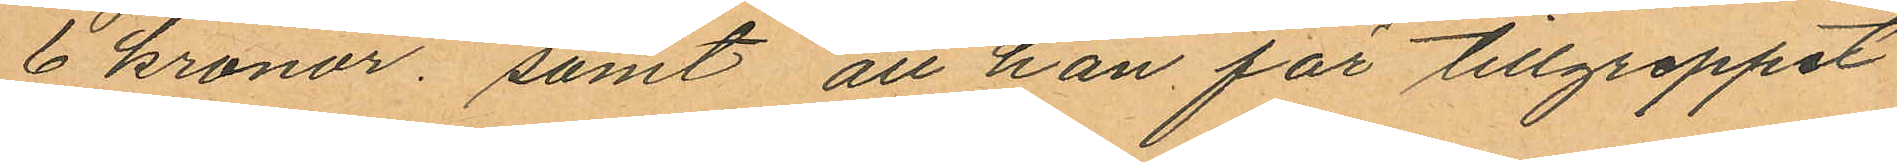6 kronor; samt att han för tillgreppet
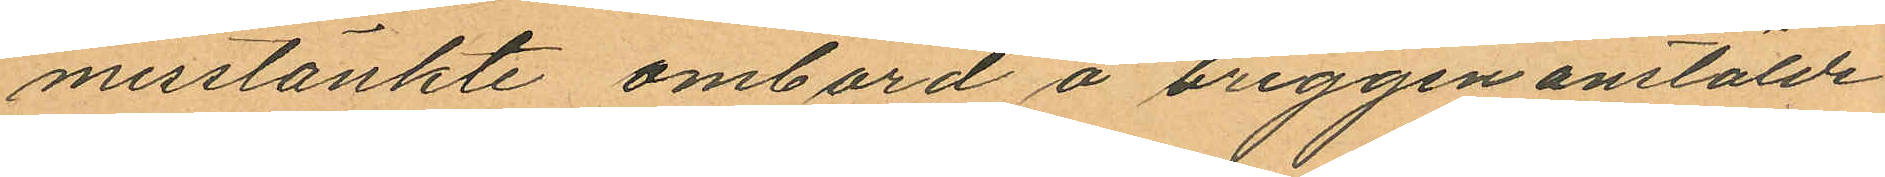misstänkte ombord å briggen anstälde
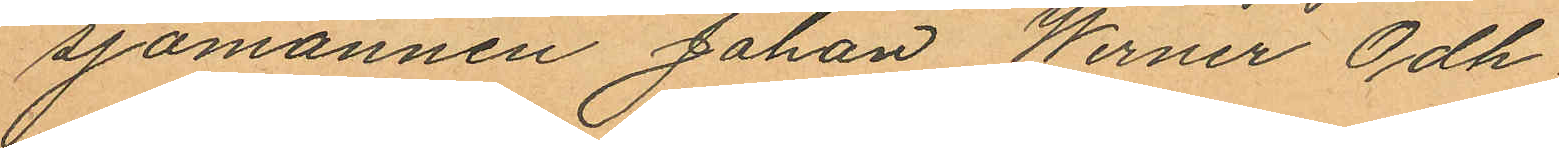sjömannen Johan Werner Odh.
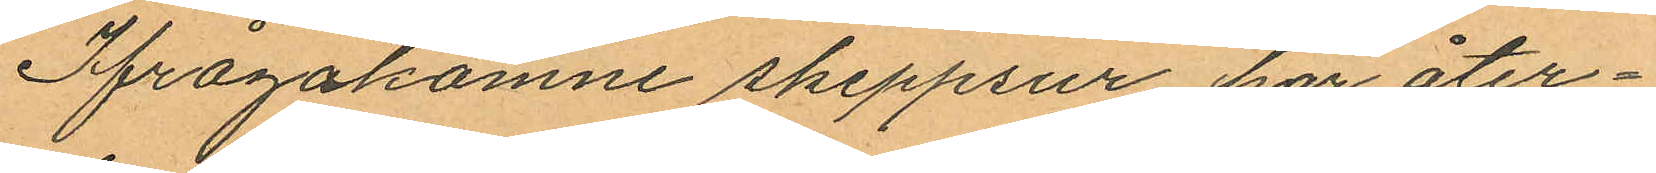Ifrågakomne skeppsur har åter¬
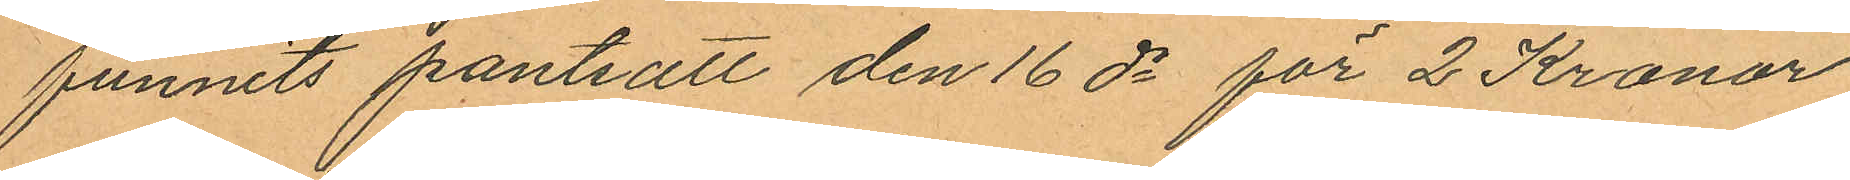funnits pantsatt den 16 ds för 2 Kronor
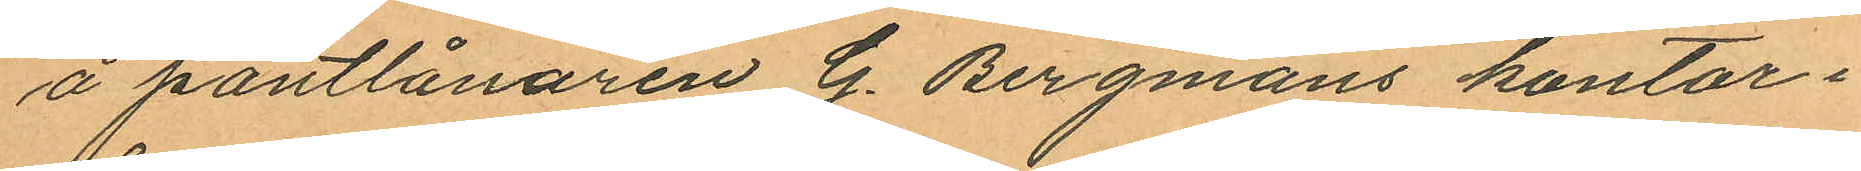å pantlånaren G. Bergmans kontor i
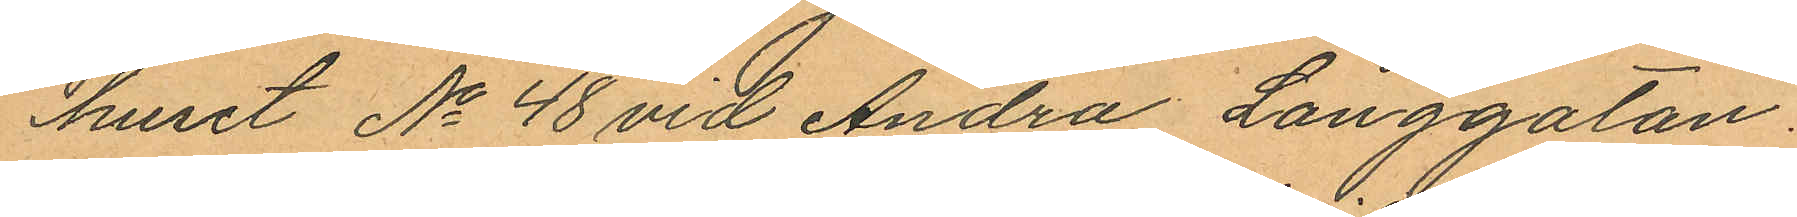huset No 48 vid Andra Långgatan.
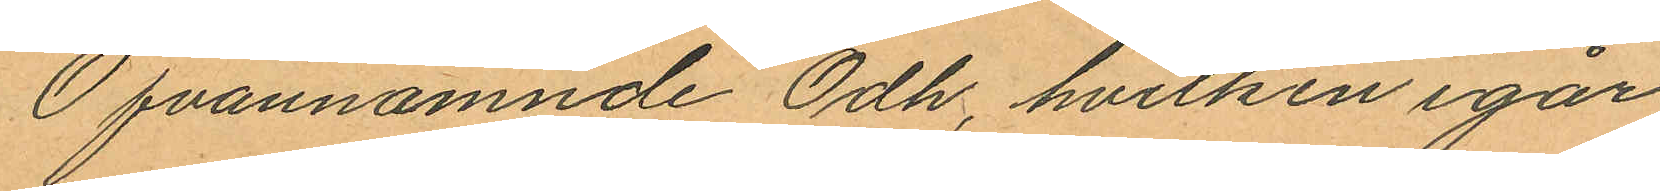Ofvannämnde Odh, hvilken igår
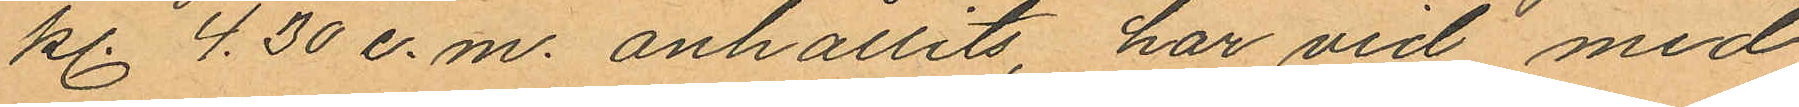kl. 4.30 e.m. anhållits, har vid med
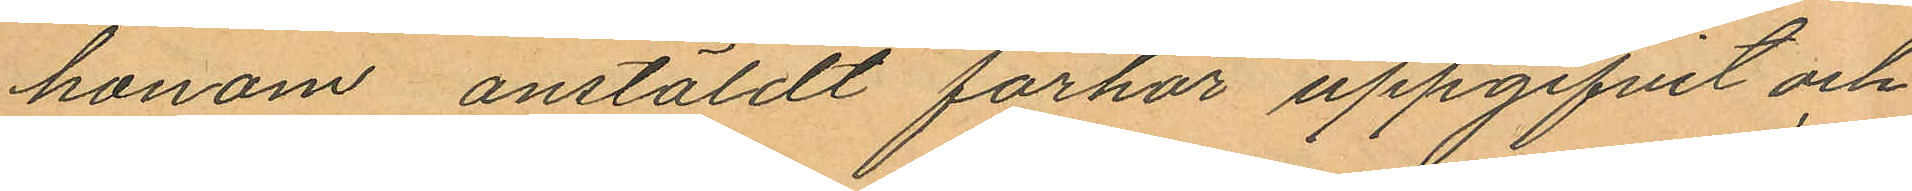honom anstäldt förhör uppgifvit och
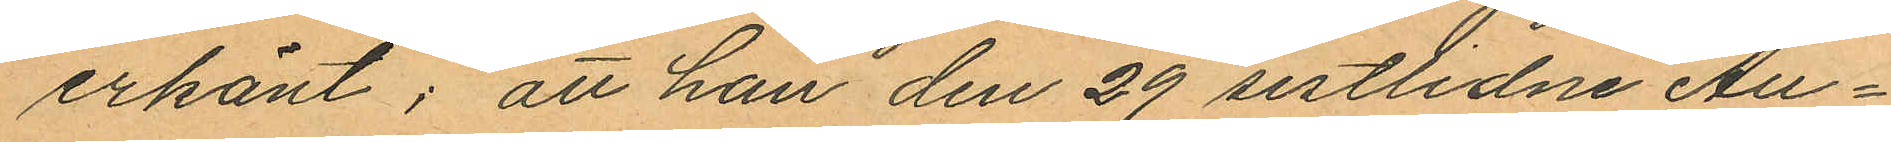erkänt; att han den 29 sistlidne Au¬
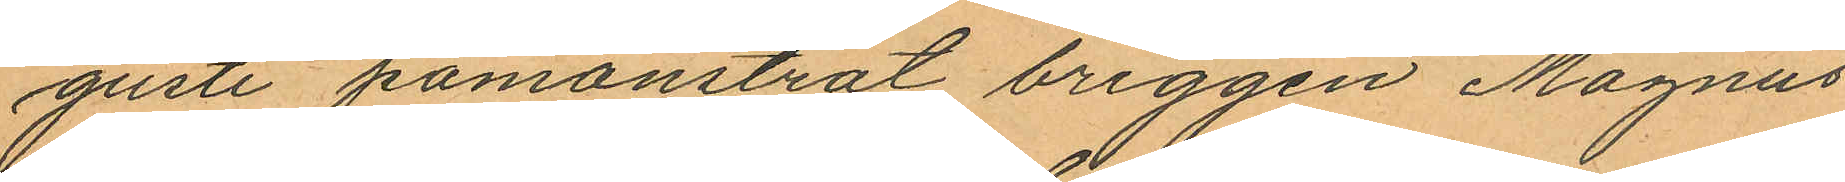gusti påmönstrat briggen Magnus
